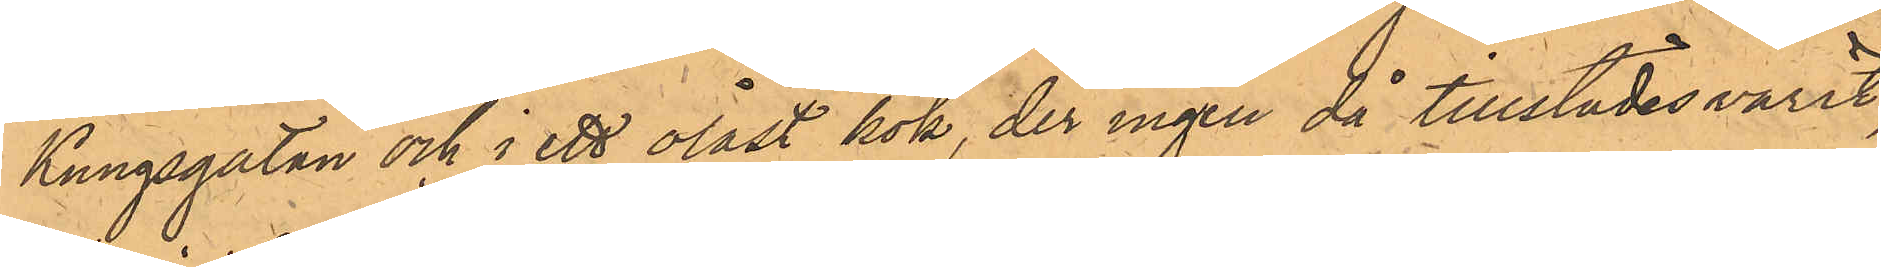Kungsgatan och i ett olåst kök, der ingen då tillstädesvarit,
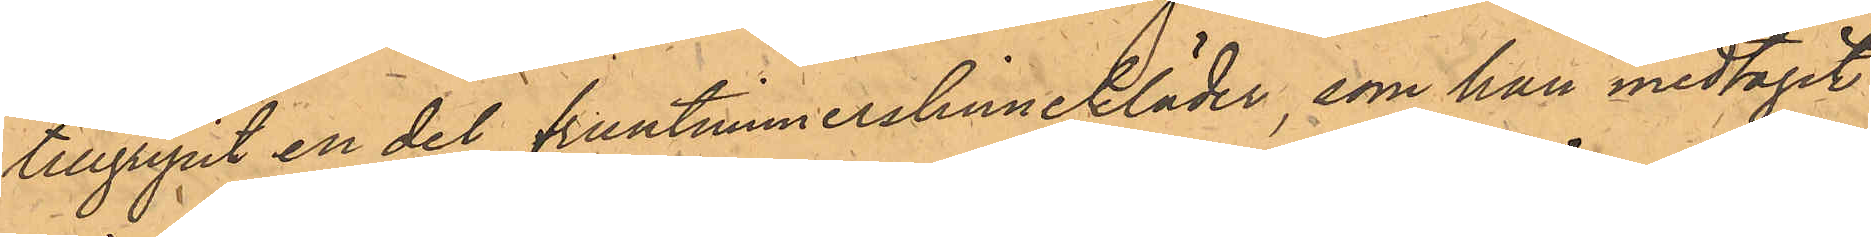tillgripit en del fruntimmerslinnekläder, som han medtagit
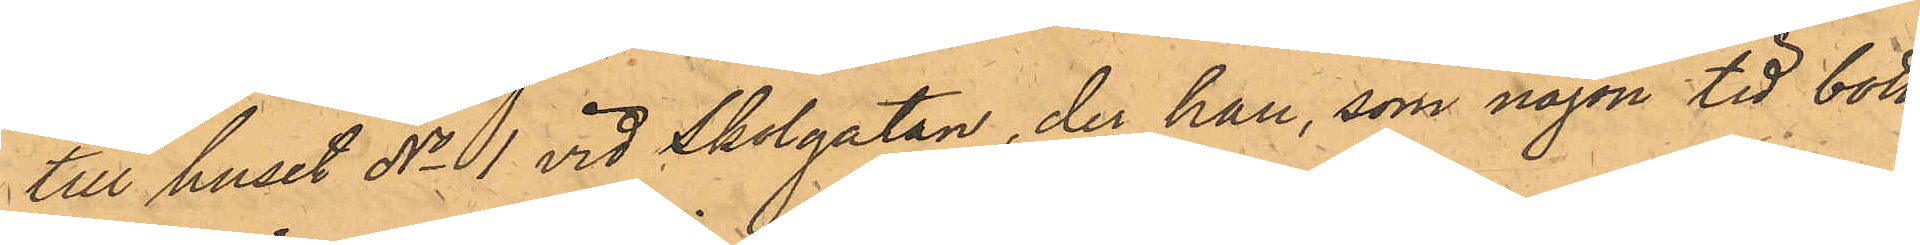till huset No 1 vid Skolgatan, der han, som någon tid bott
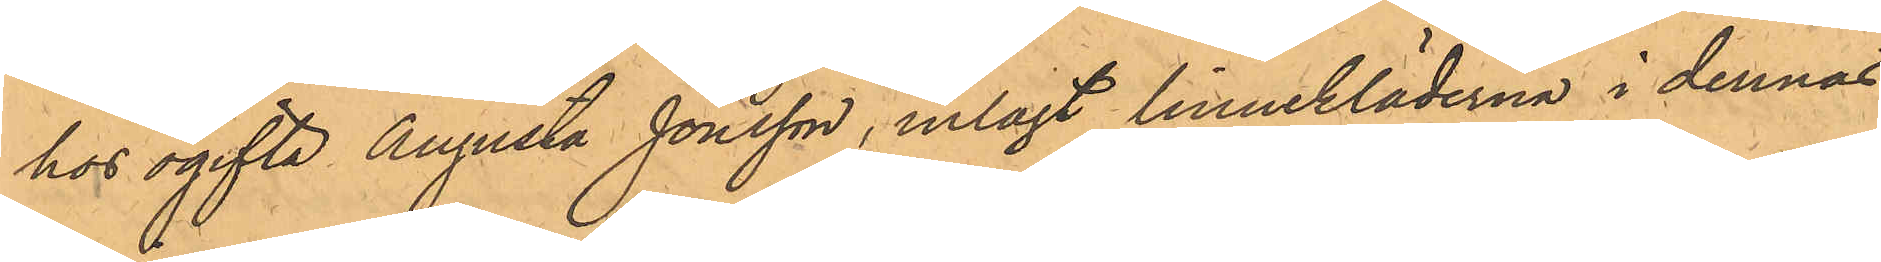hos ogifta Augusta Jonsson, inlagt linnekläderna i dennas
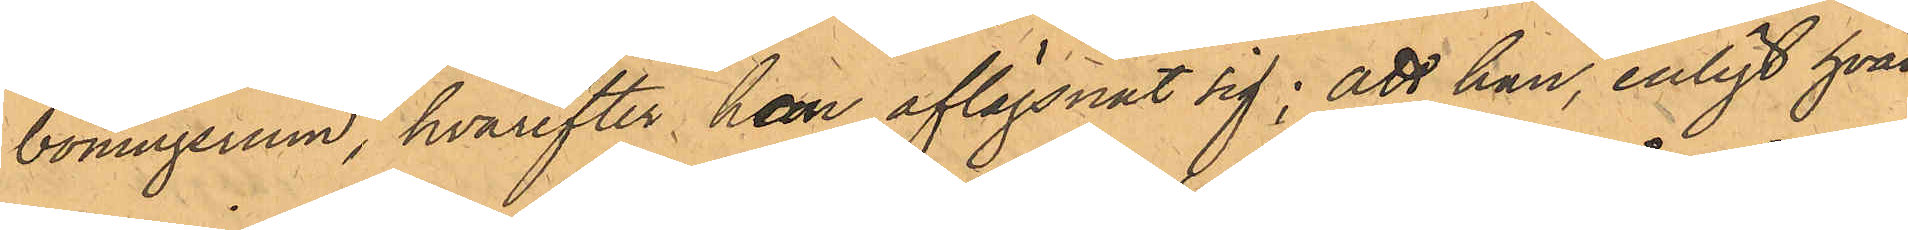boningsrum, hvarefter han aflägsnat sig; att han, enligt hvad
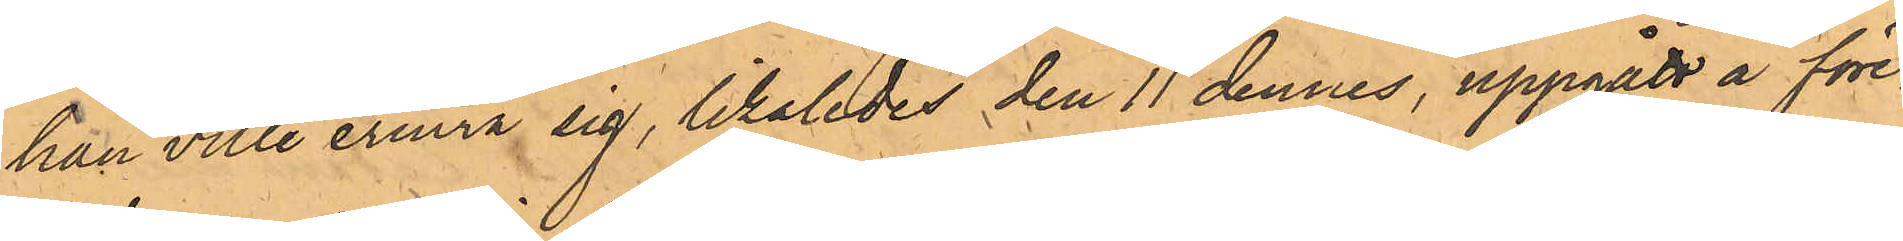han ville erinra sig, likaledes den 11 dennes, uppgått å före¬
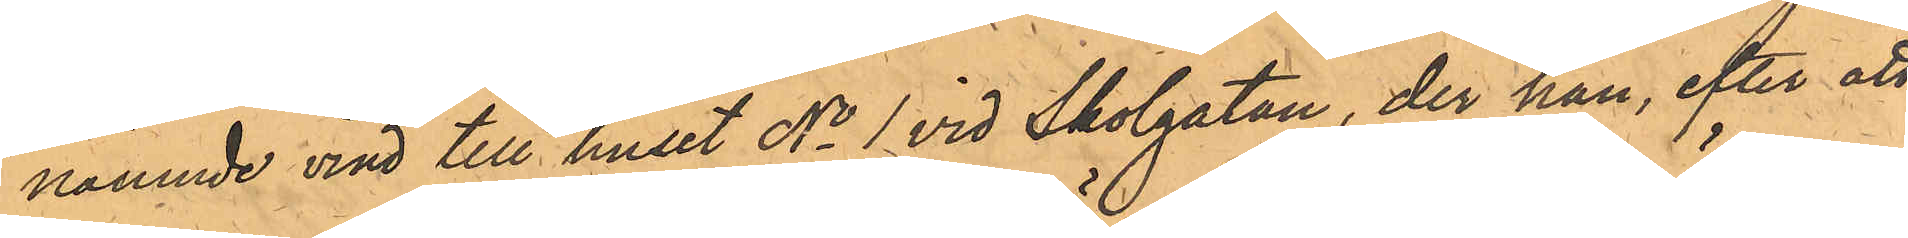nämnde vind till huset No 1 vid Skolgatan, der han, efter att
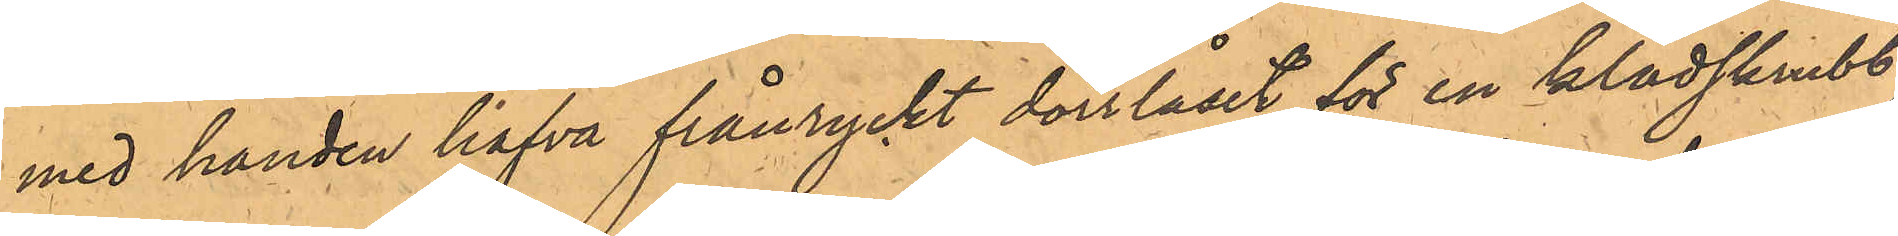med handen hafva frånryckt dörrlåset för en klädskrubb
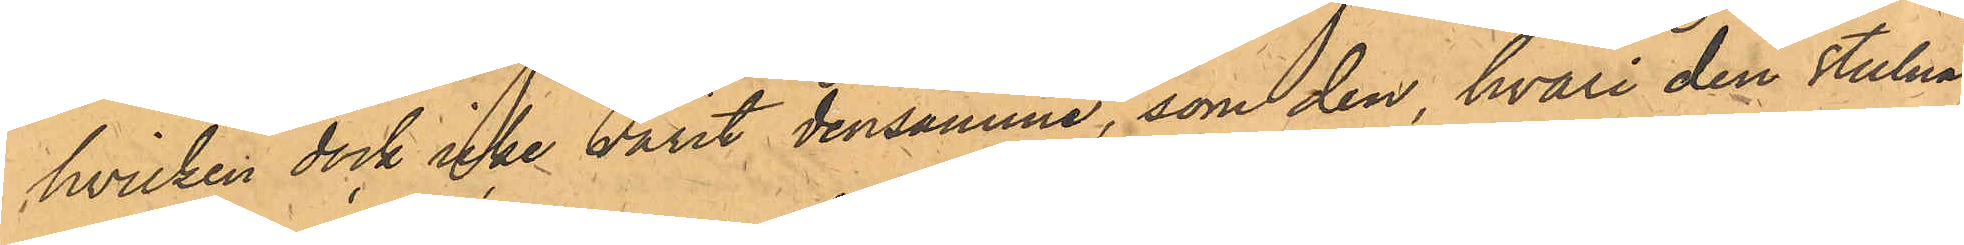hvilken dock icke varit densamma, som den, hvari den stulna
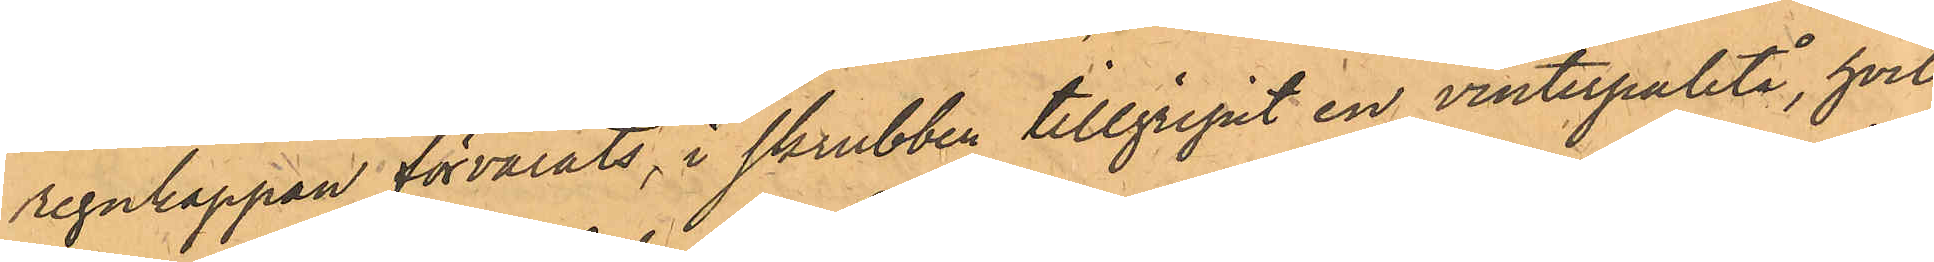regnkappan förvarats, i skrubben tillgripit en vinterpaletå, hvil¬
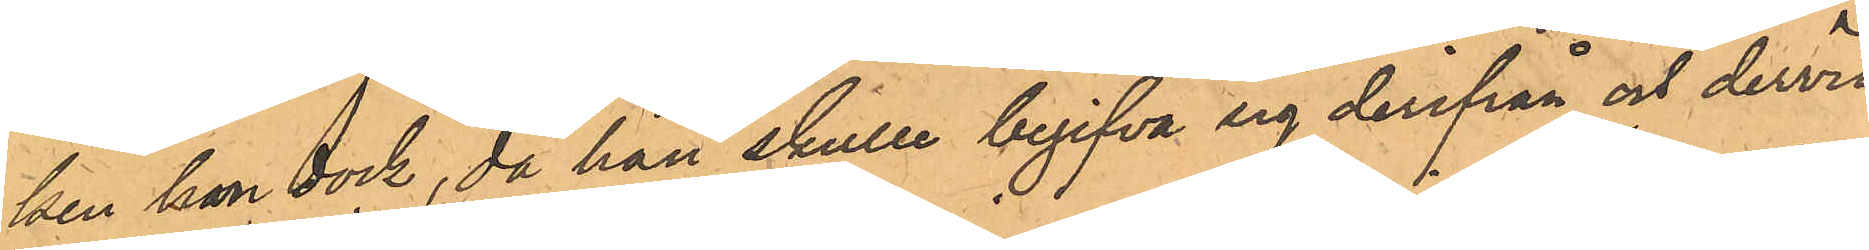ken han dock, då han skulle begifva sig derifrån och dervid
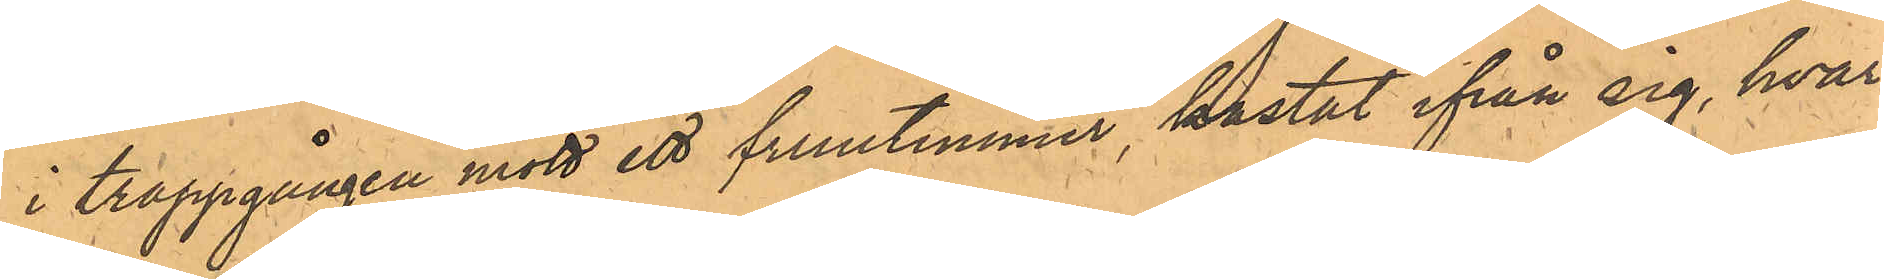i trappgången mött ett fruntimmer, kastat ifrån sig, hvar¬
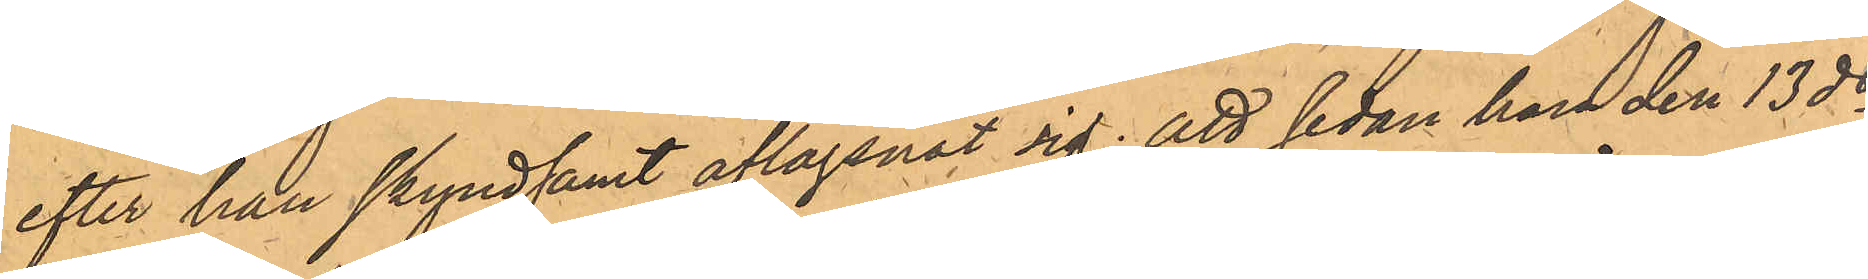efter han skyndsamt aflägsnat sig; att sedan han den 13 ds
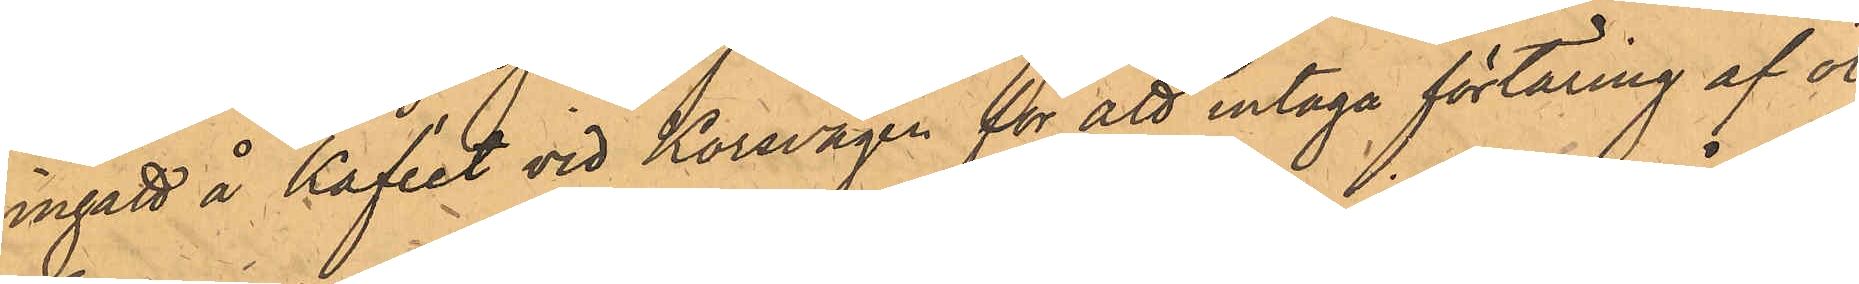ingått å Kaféet vid Korsvägen för att intaga förtäring af öl,
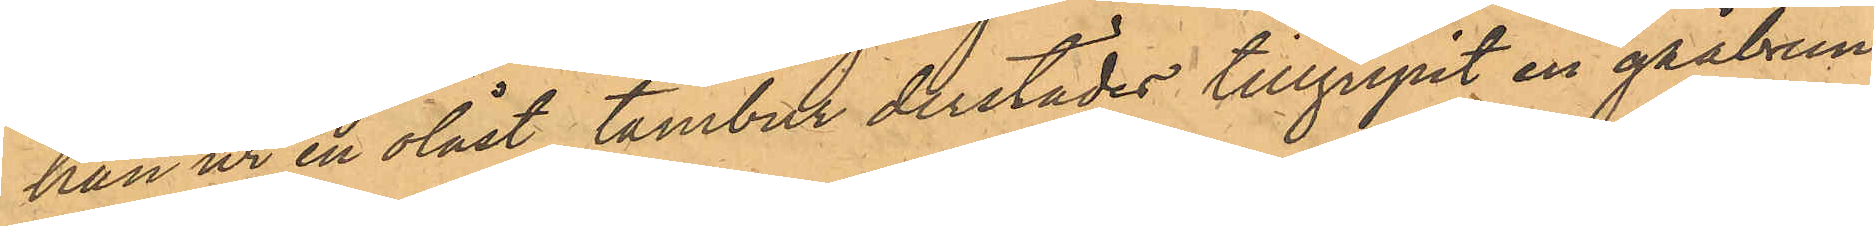han ur en olåst tambur derstädes tillgripit en gråbrun
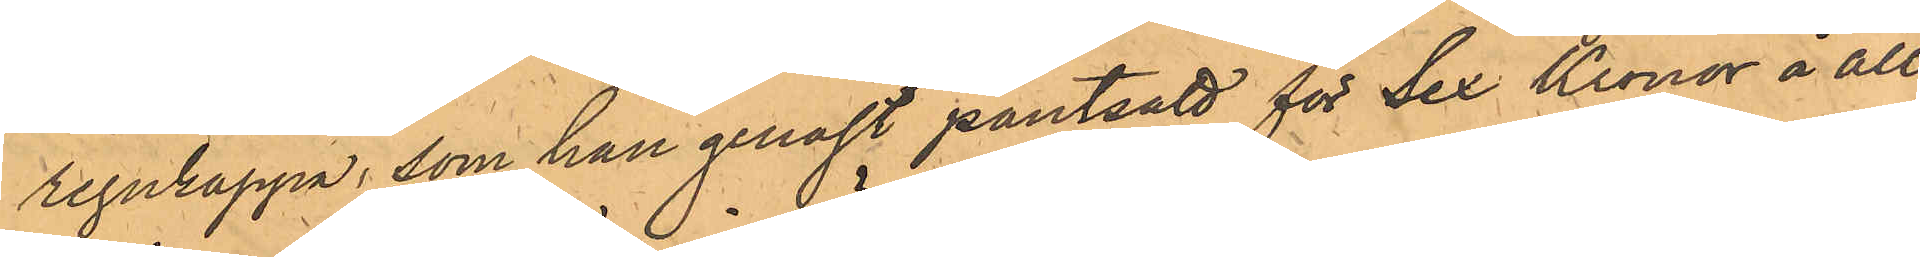regnkappa, som han genast pantsatt för Sex Kronor å all¬
